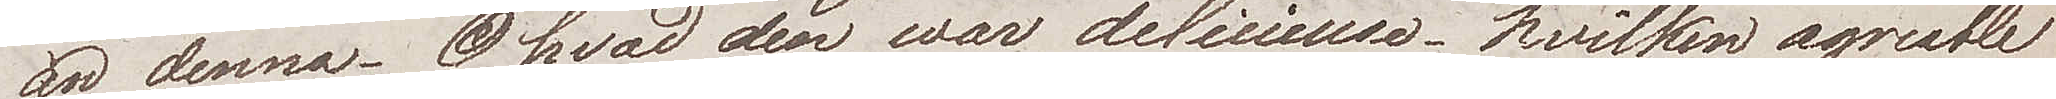än denna. O hvad den war delicieuse, hvilken agreable
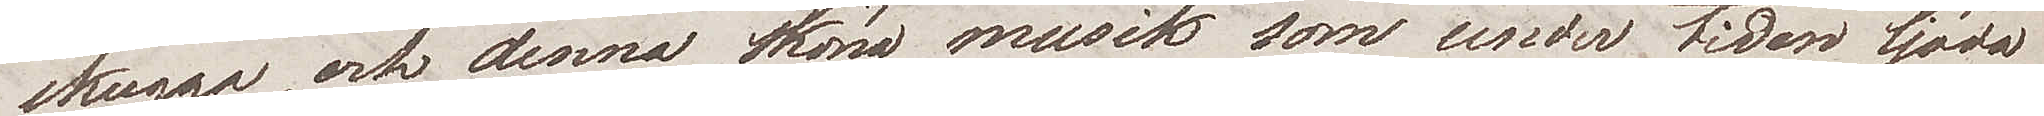skugga, och denna sköna musik som under tiden ljöd
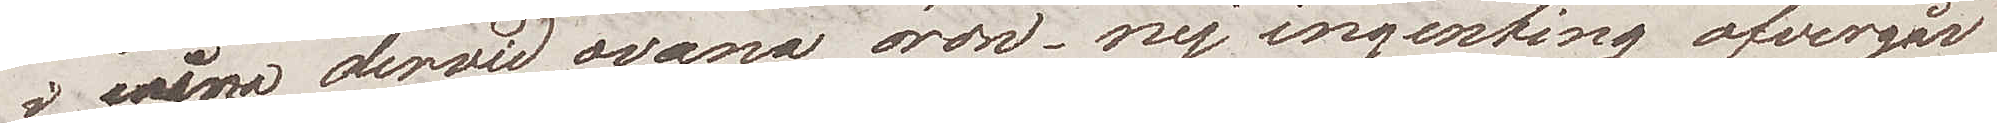i mina derwid ovana öron. Nej ingenting öfvergår
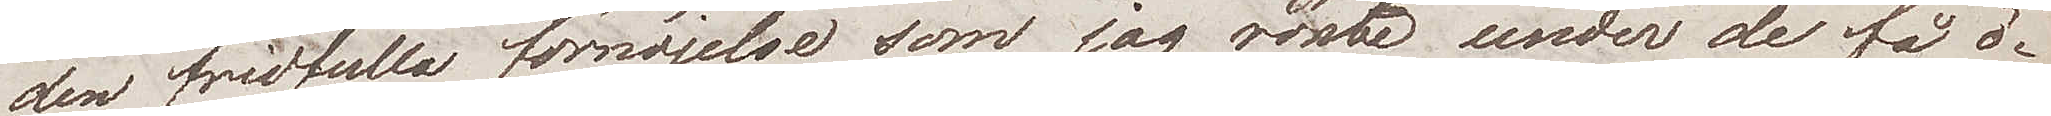den fridfulla förnöjelse som jag kände? under de få ö¬
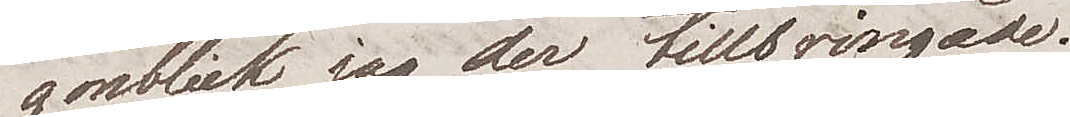gonblick jag der tillbringade.
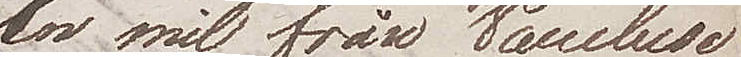En mil från Vaucluse
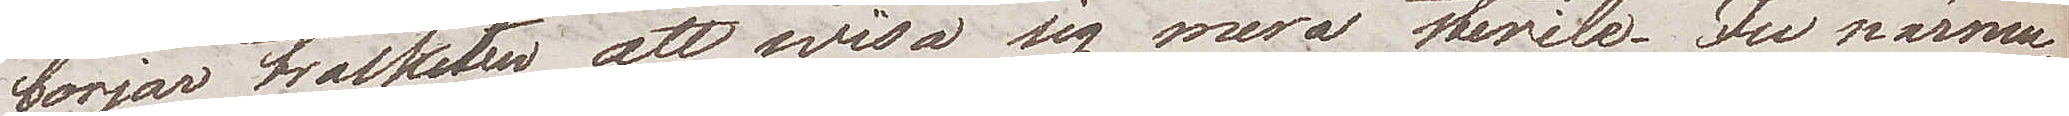börjar trakten att visa sig mera sterile. Ju närma¬
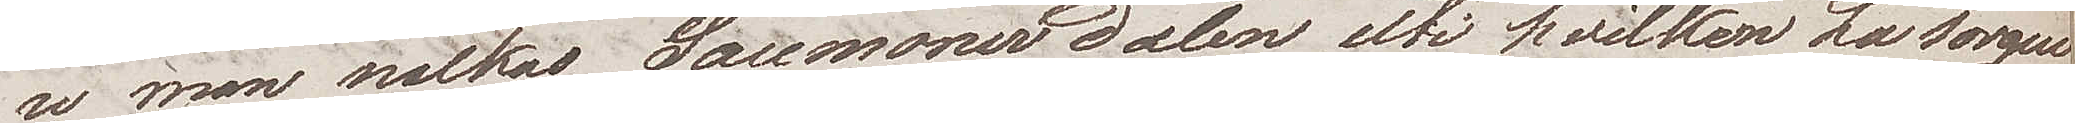re man nalkas Saumanedalen uti hvilken La sorgue
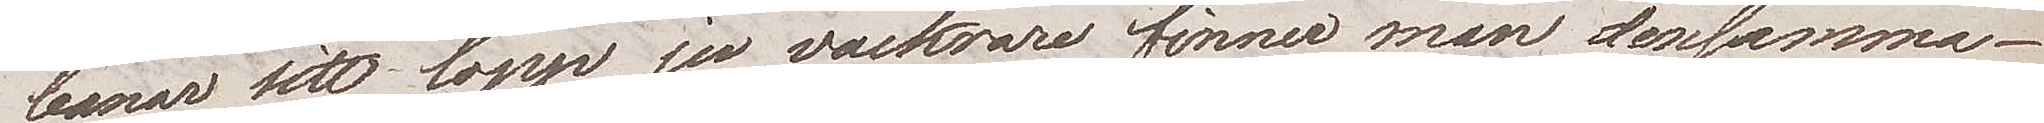banar sitt lopp, ju vackrare finner man densamma.
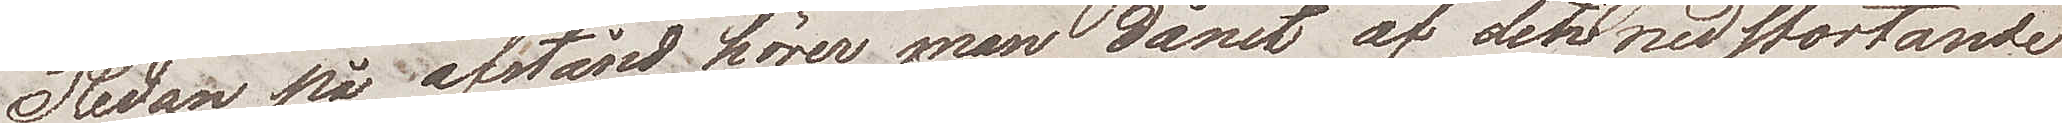Redan på avstånd hörer man dånet af den nedstörtande
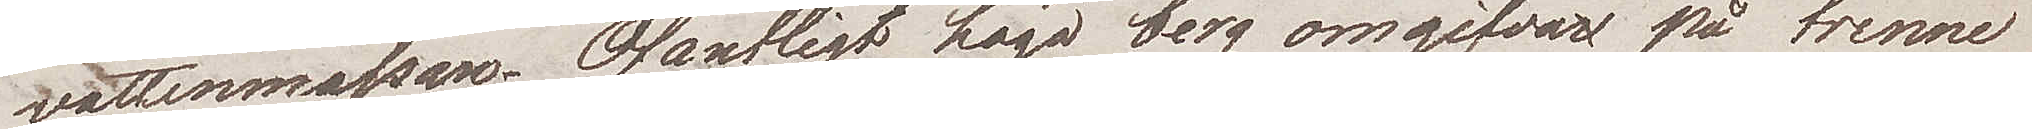vattenmassan. Ofantligt höga berg omgifva på trenne
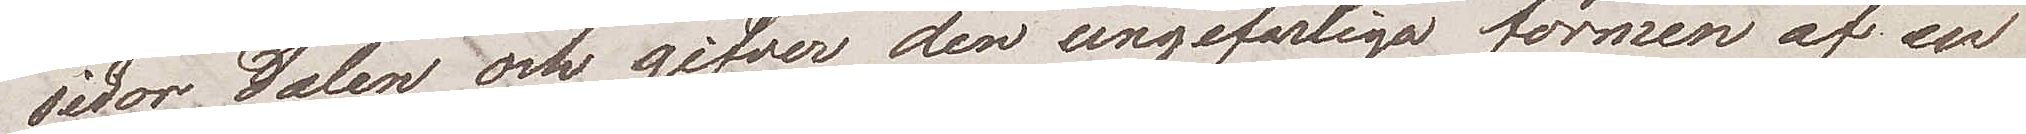sidor dalen och giver den ungefärliga formen af en
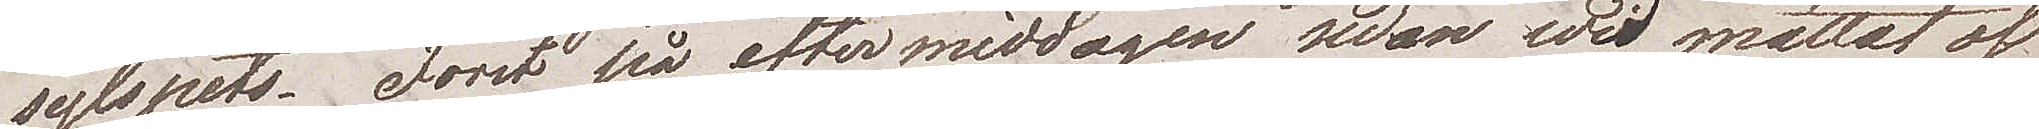sylspets. Först på eftermiddagen sedan vi mättat oss
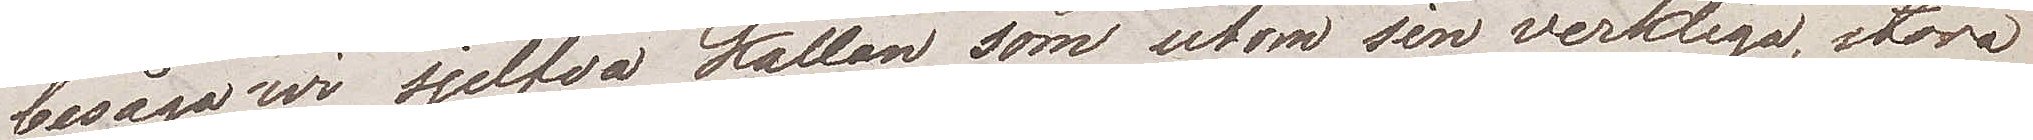besågo vi sjelfva källan som utom sin verkliga, stora
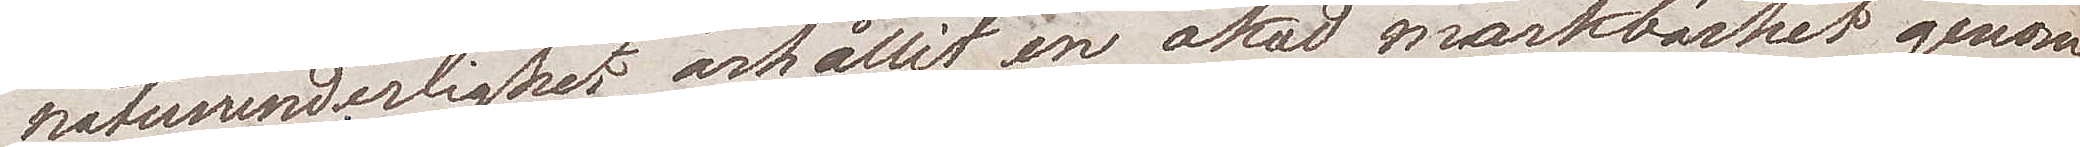naturunderlighet erhållit en ökad märkbarhet genom
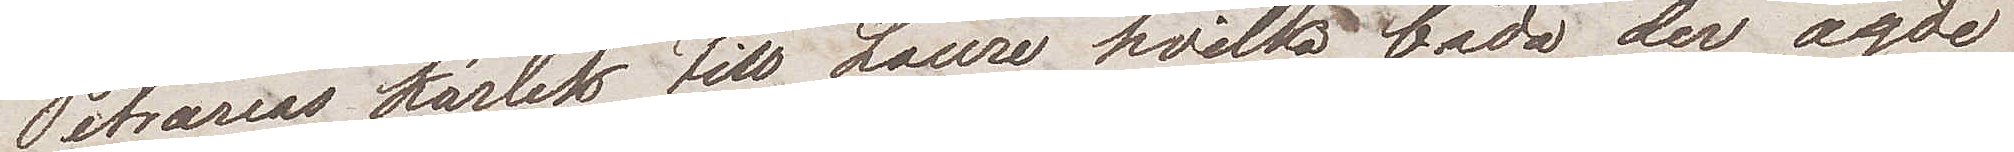Petrarcas kärlek till Laura, hvilka båda der ägde
